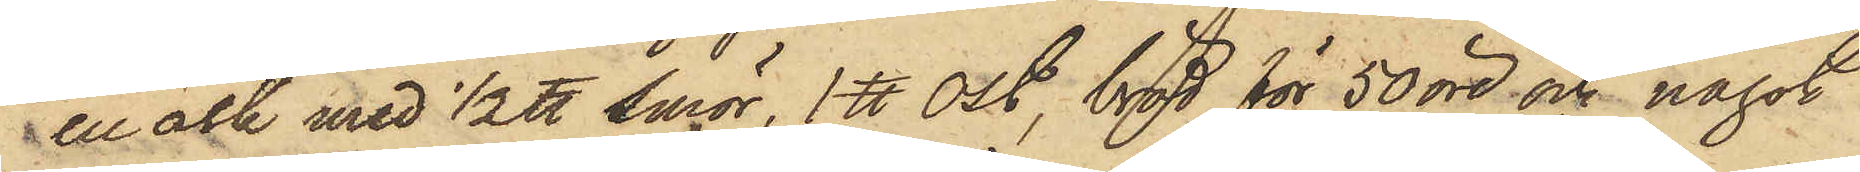en ask med 1/2 ℔ smör, 1 ℔ Ost, bröd för 50 öre och något
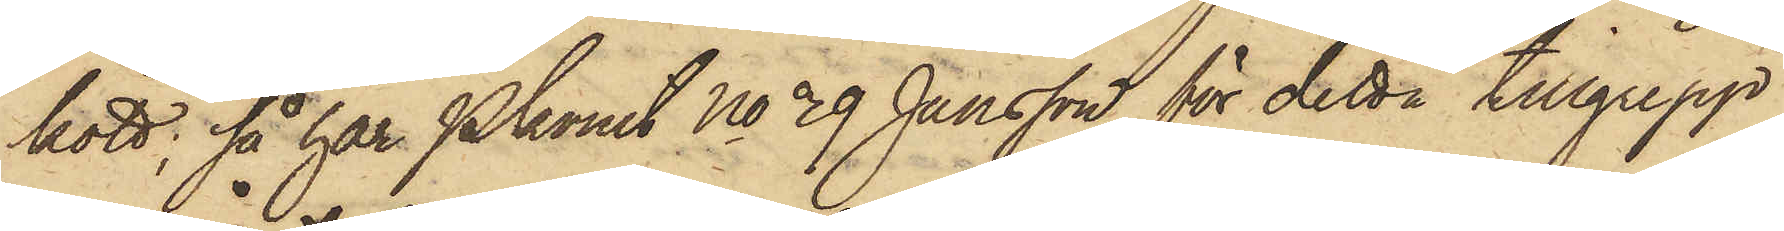kött; så har Pkonst No 39 Jansson för detta tillgrepp
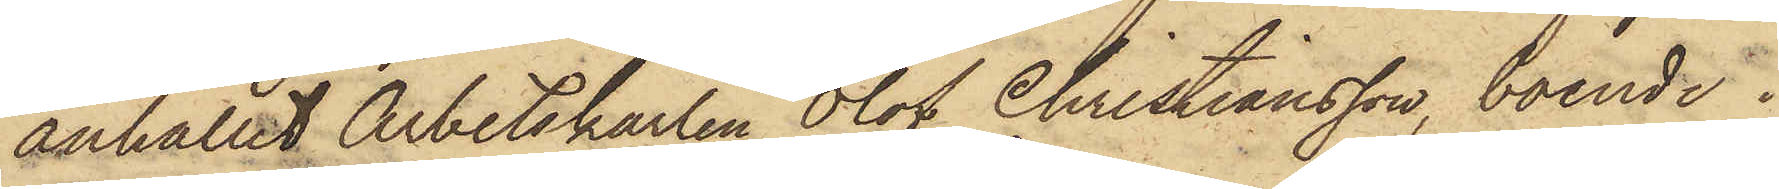anhållit Arbetskarlen Olof Christiansson, boende i
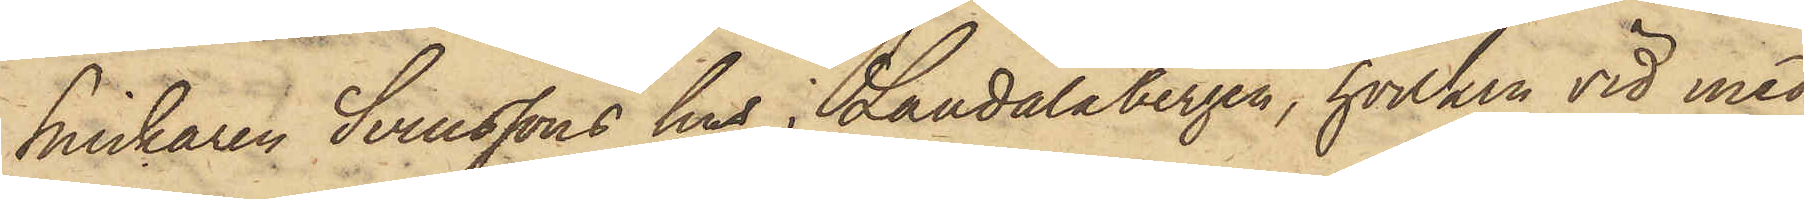Snickaren Svenssons hus i Landalabergen, hvilken vid med
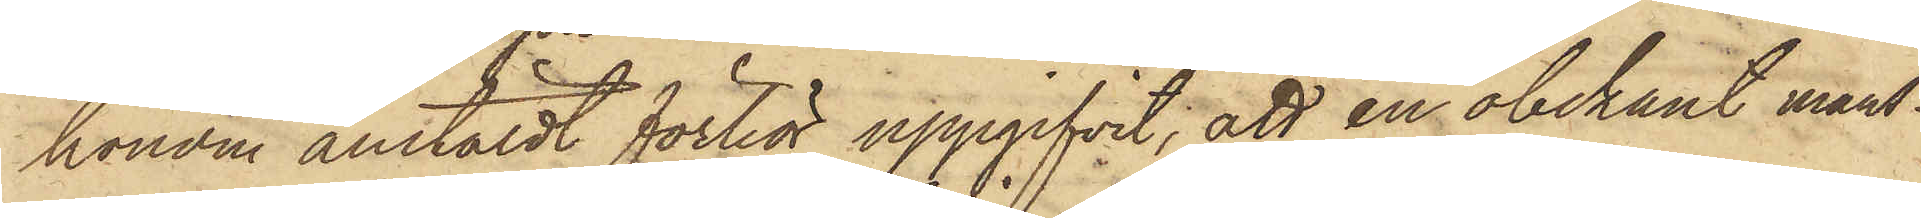honom anstäldt förhör uppgifvit, att en obekant mans¬
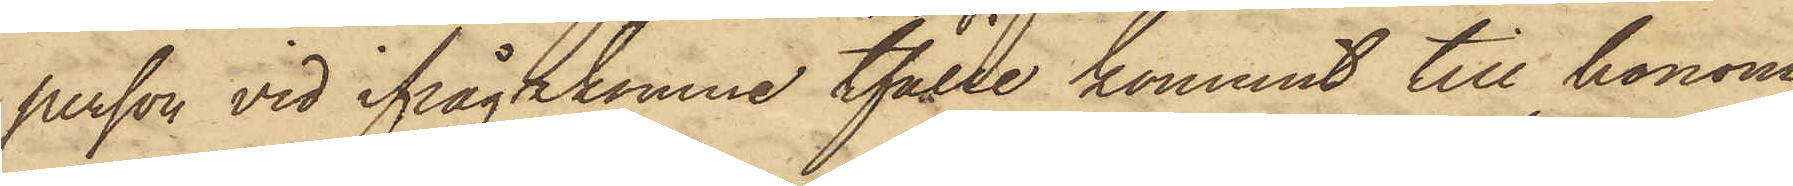person vid ifrågakomne tfälle kommit till honom
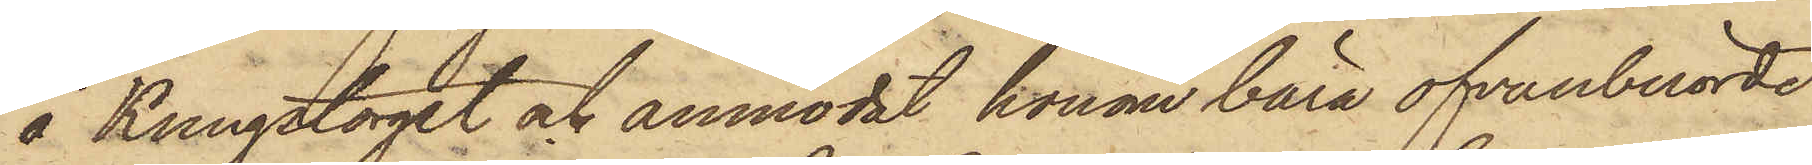å Kungstorget och anmodat honom bära ofvanberörde
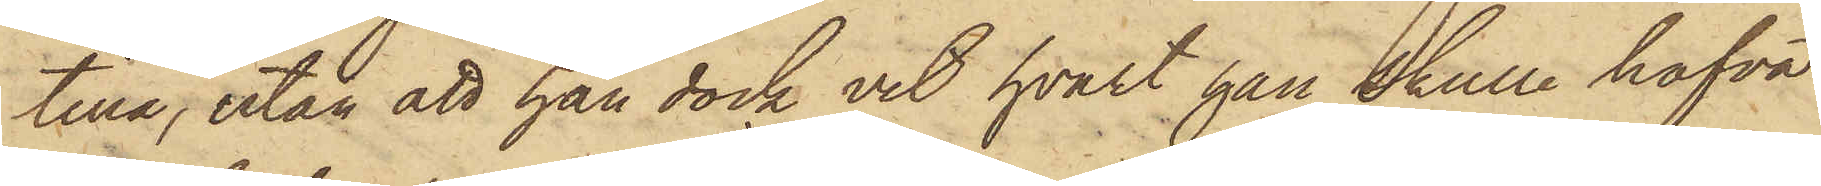tina, utan att han dock vet hvart han skulle hafva
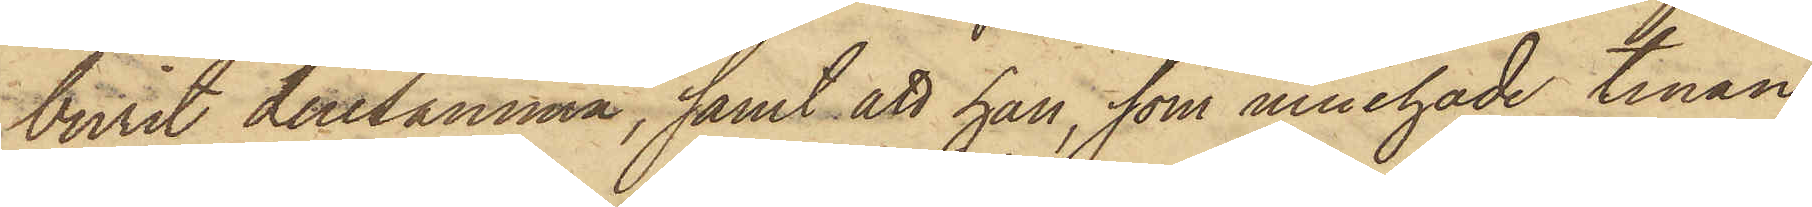burit densamma; samt att han, som innehade tinan
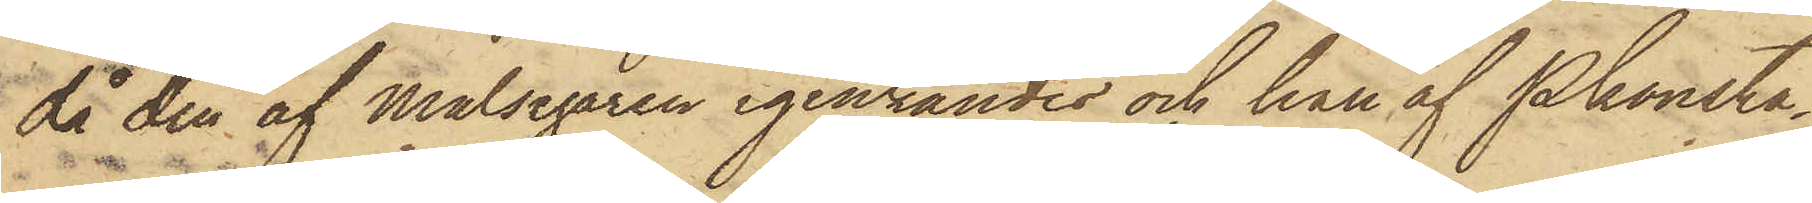då den af Målsegaren igenkändes och han af Pkonsta¬
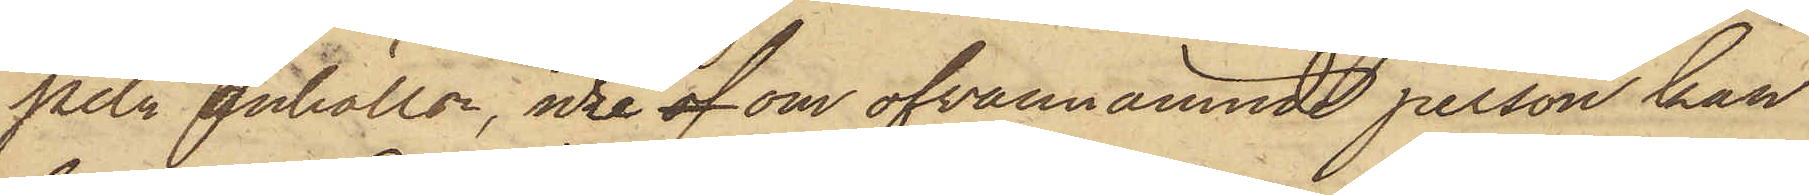peln anhölls, icke af om ofvannämnde person kan
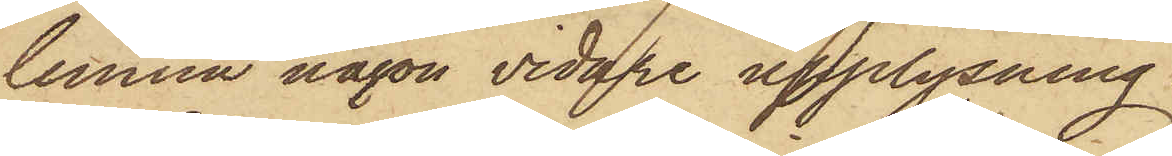lemna någon vidare upplysning.
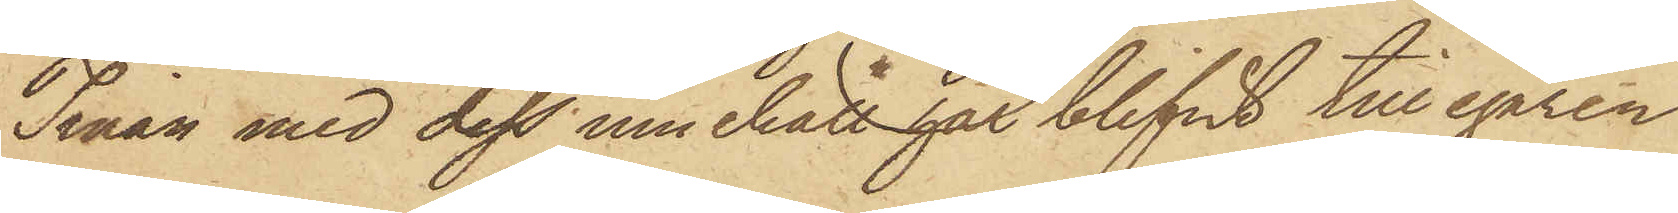Tinan med dess innehåll har blifvit till egaren
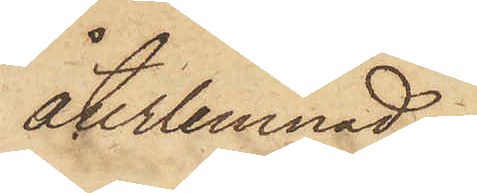återlemnad.
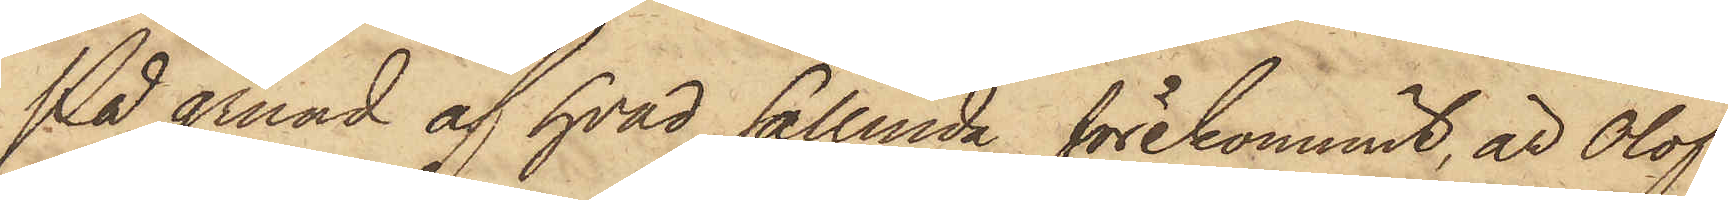På grund af hvad sålunda förekommit, är Olof
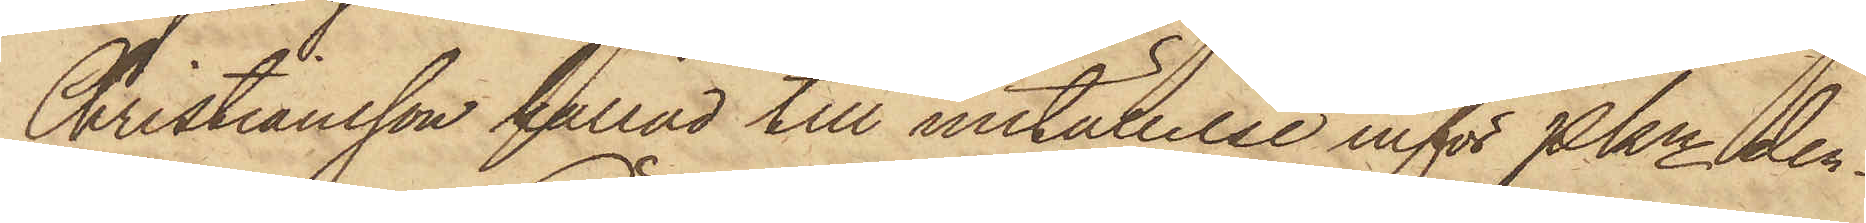Christiansson kallad till inställelse inför Pkn den¬
